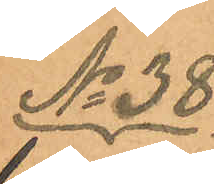No 38.
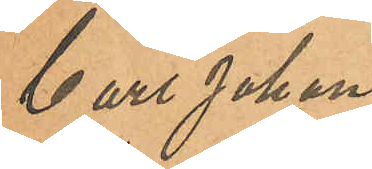Carl Johan
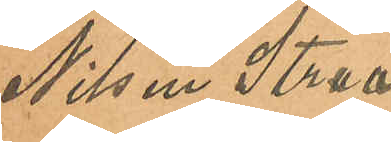Nilsen Straa¬
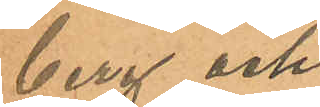berg och
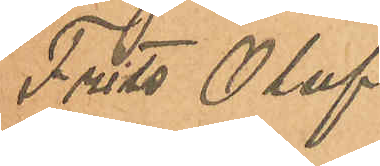Frits Oluf
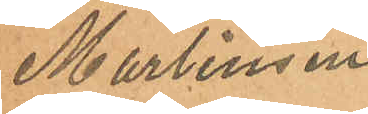Martinsen
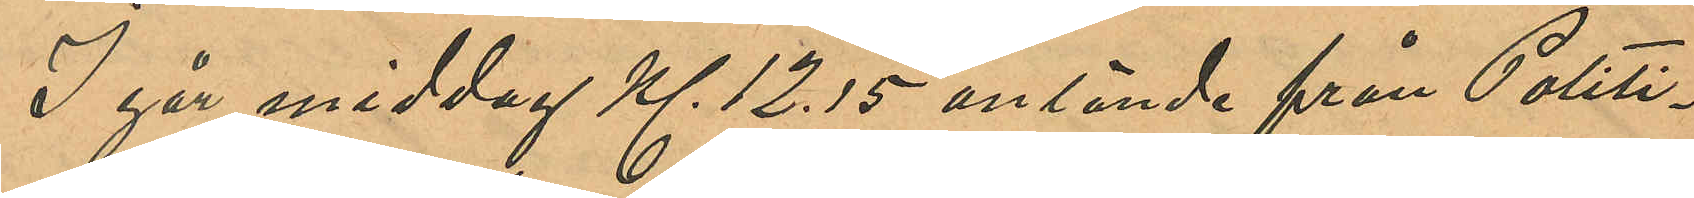I går middag Kl. 12.15 anlände från Politi¬
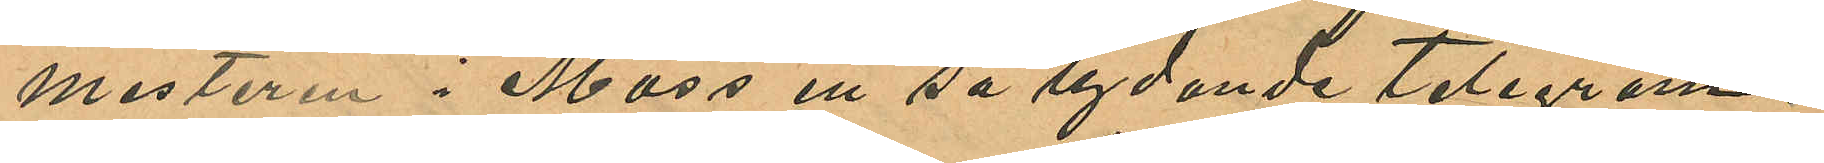mesteren i Moss ett så lydande telegram:
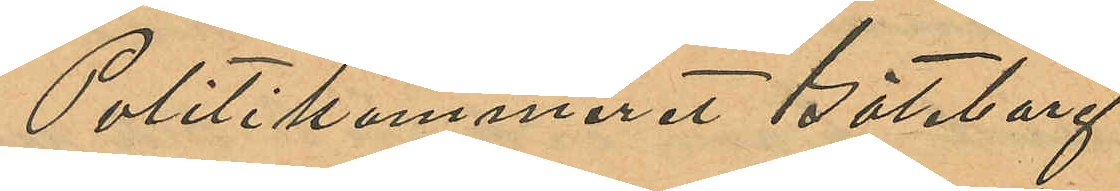Politikammeret Göteborg
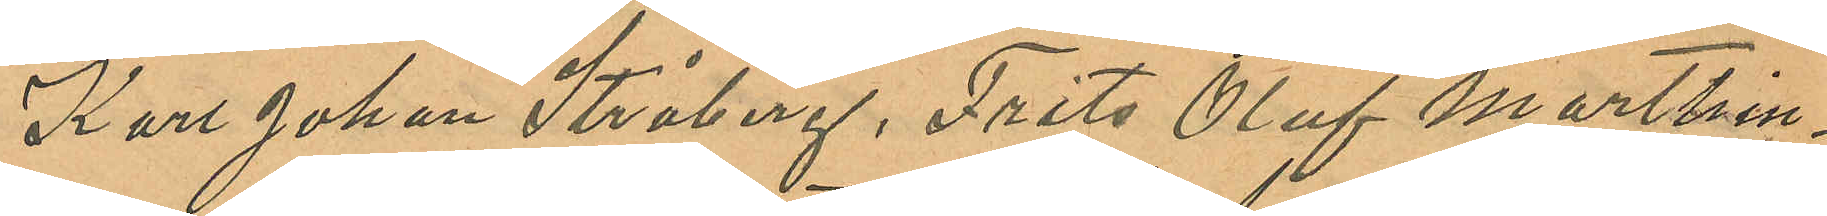Karl Johan Stråberg, Frits Oluf Marthin¬
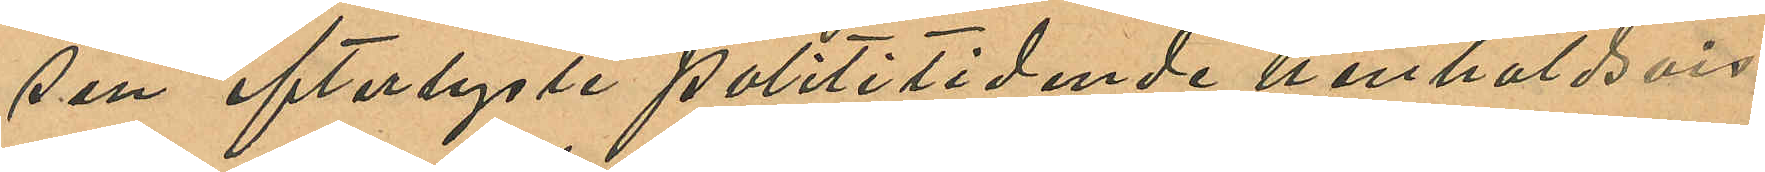sen efterlyste Polititidende henholdsvis
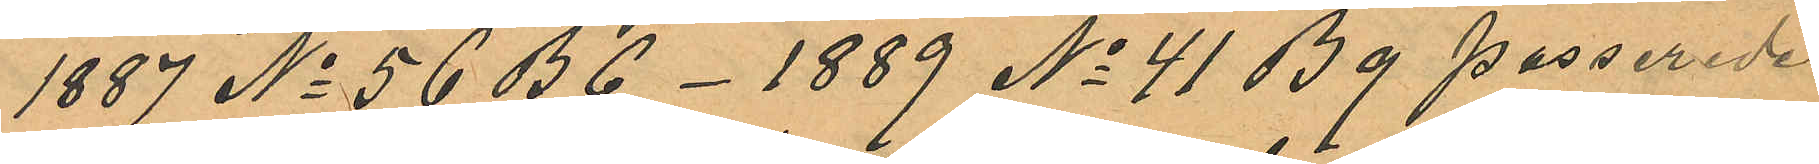1887 No 56 B 6 -1889 No 41 B 9 passerede
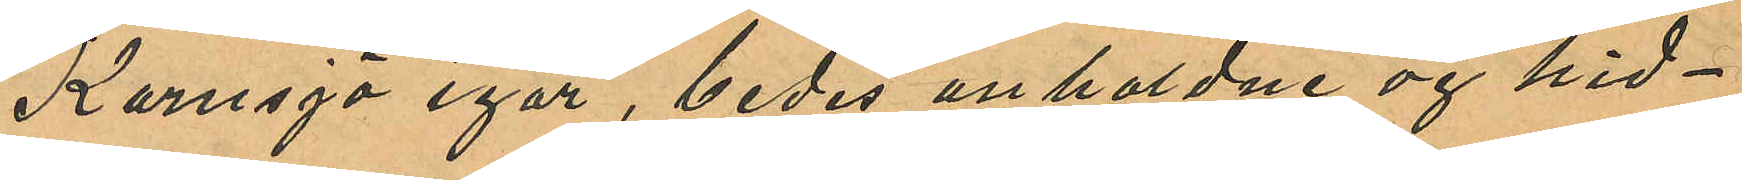Kornsjö igår, bedes anholdne og hid¬
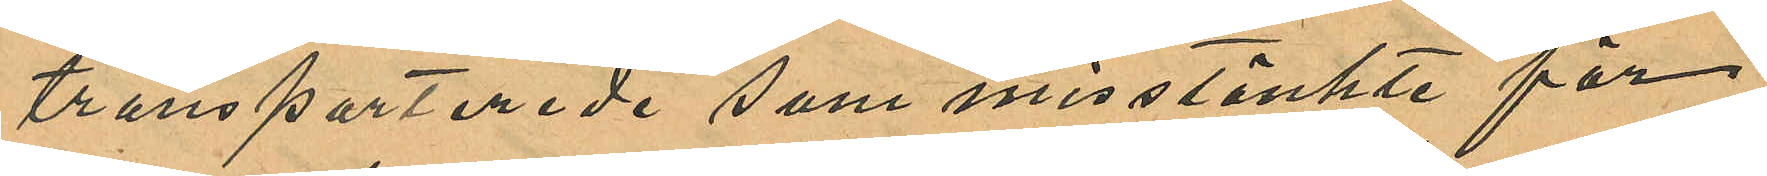transporterede som misstänkte för
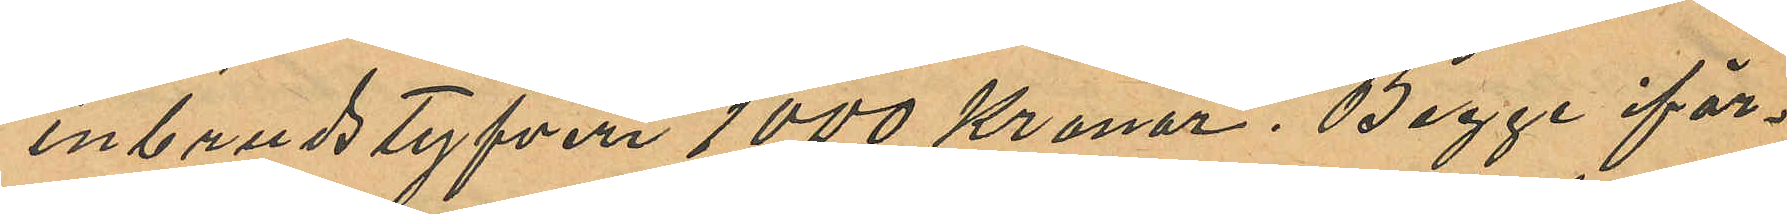inbrudstyfveri 1000 Kronor. Begge iför¬
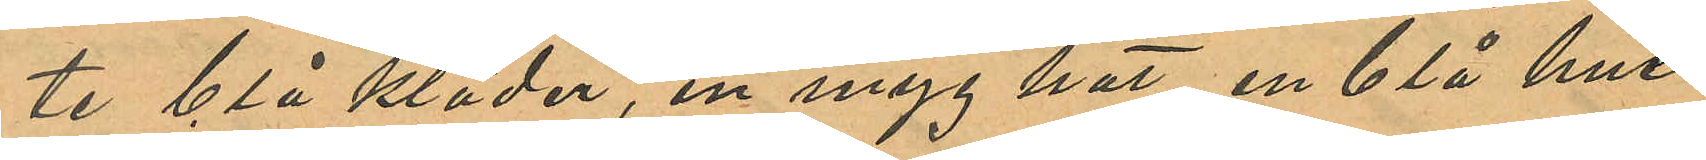te blå kläder, en myg hat en blå hue
